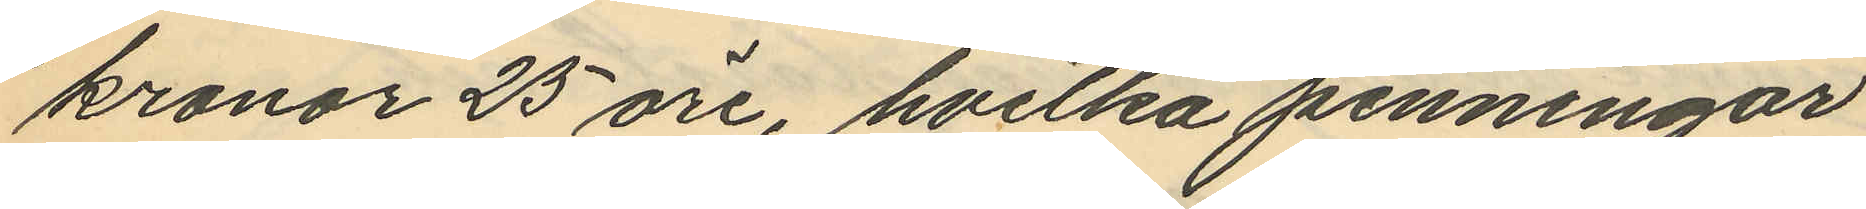kronor 25 öre, hvilka penningar
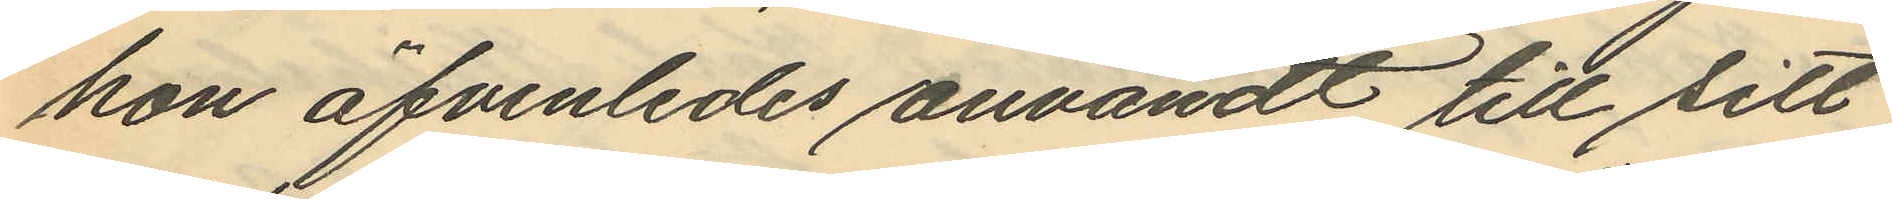hon äfvenledes användt till sitt
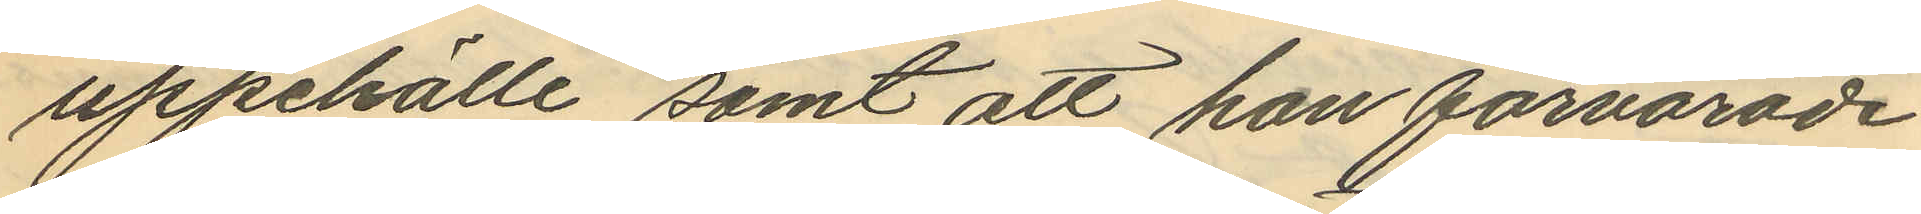uppehälle, samt att han förvarade
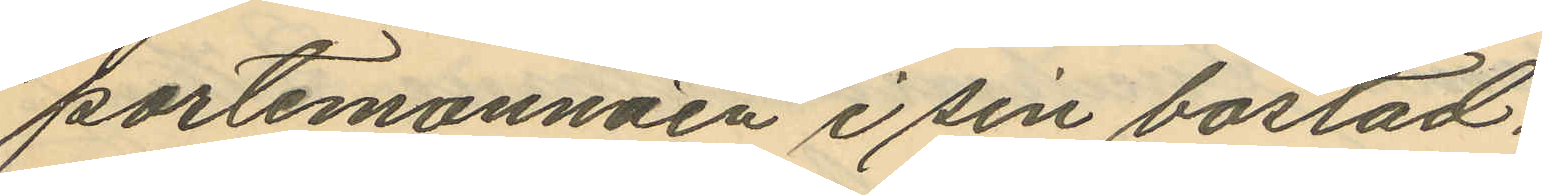portemonnäen i sin bostad,
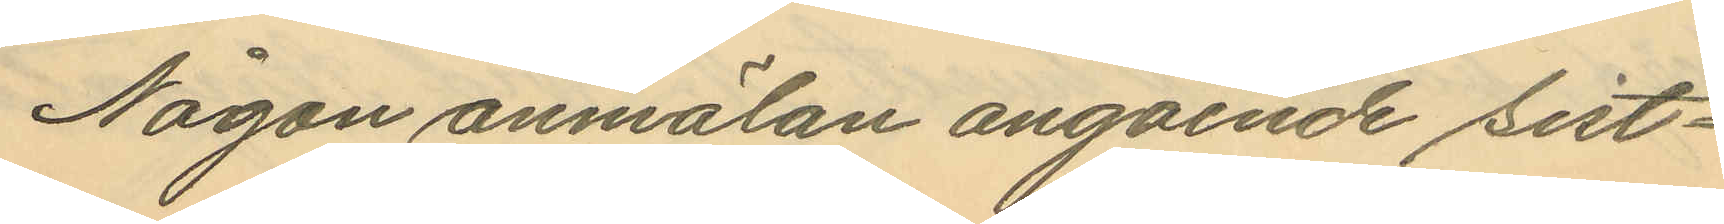Någon anmälan angående sist¬
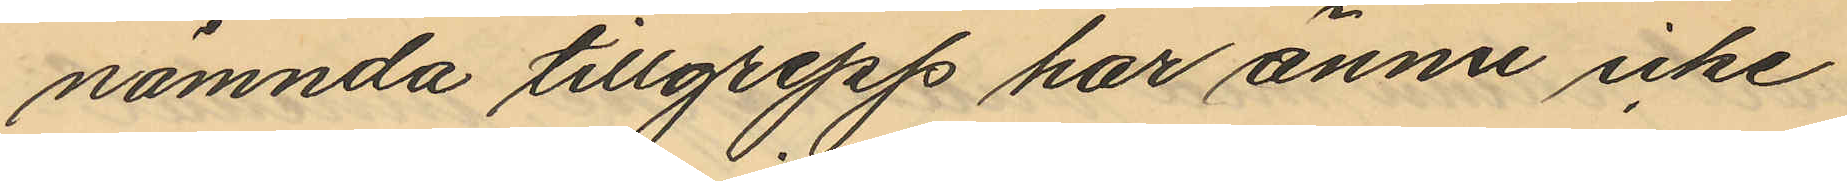nämnda tillgrepp har ännu icke
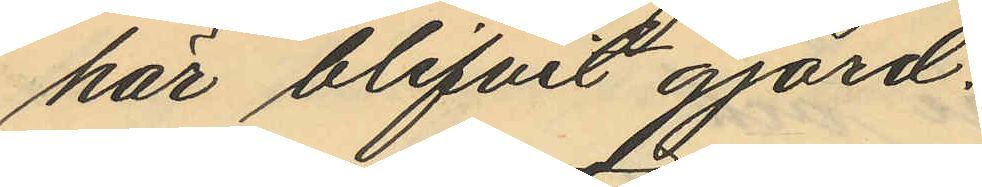här blifvit gjord.
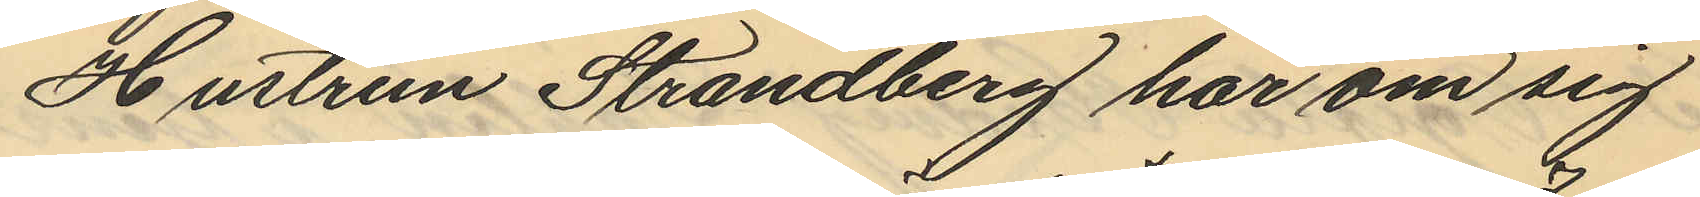Hustrun Strandberg har om sig
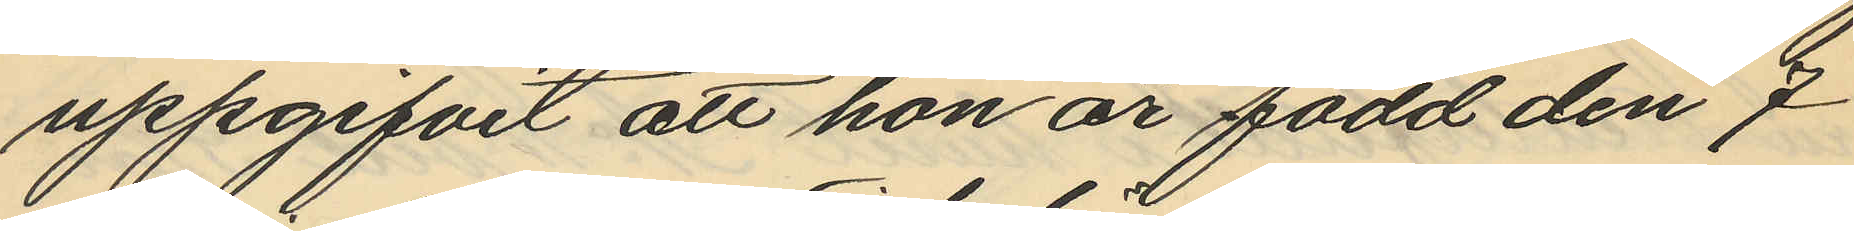uppgifvit att hon är född den 7
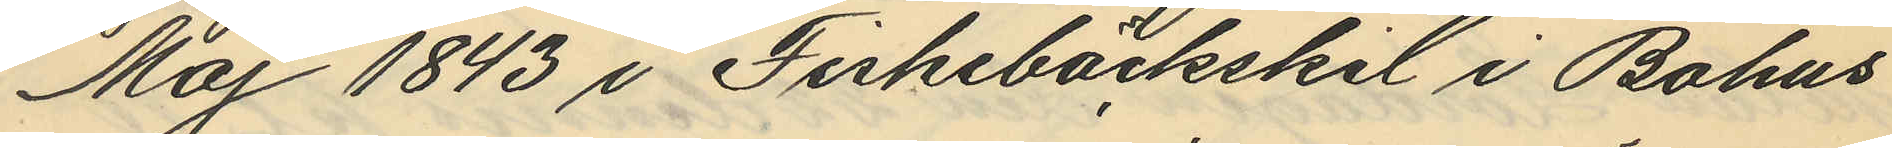Maj 1843 i Fiskebäckskil i Bohus
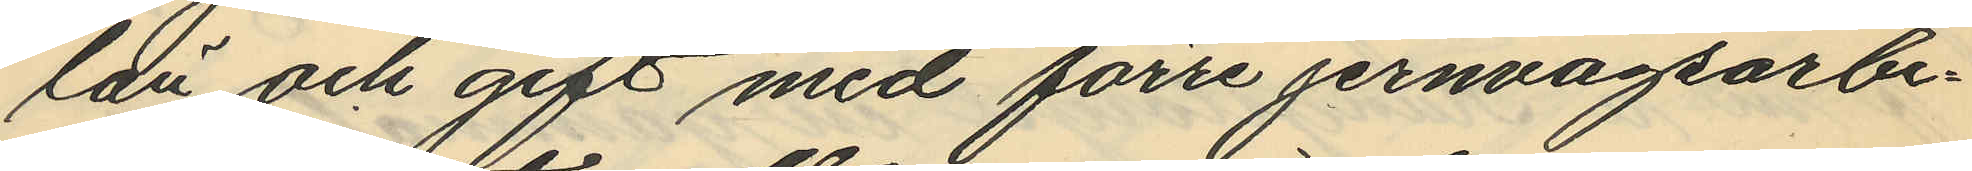län och gift med förre jernvägsarbe¬
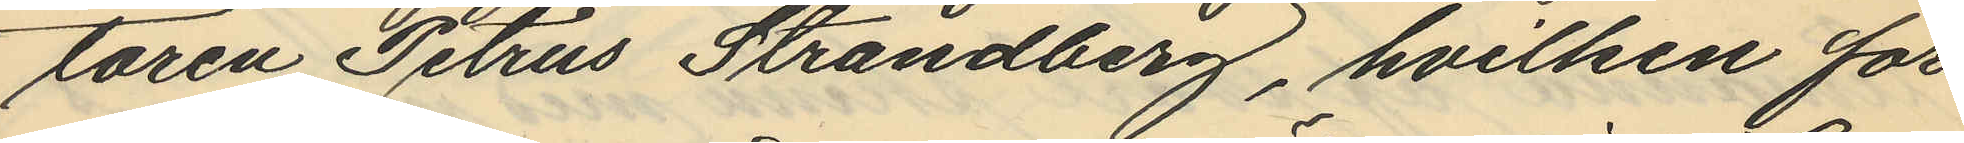taren Petrus Strandberg, hvilken för
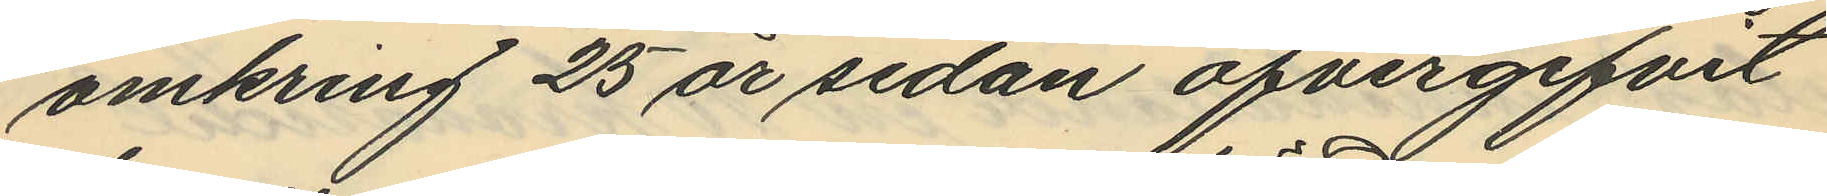omkring 25 år sedan öfvergifvit
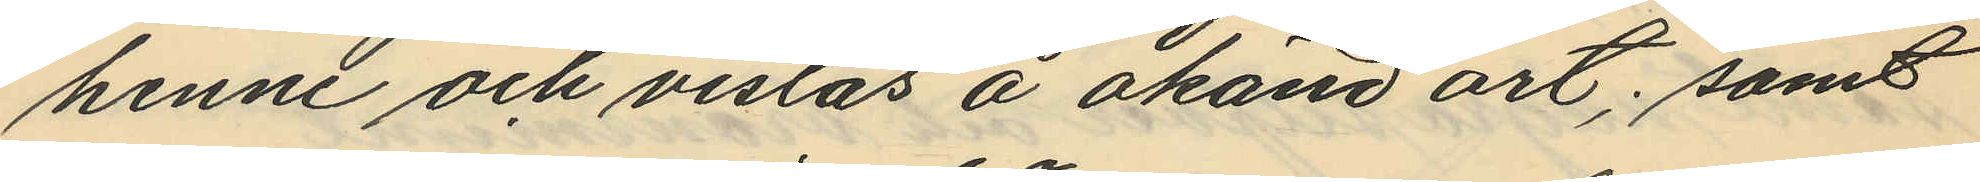henne och vistas å okänd ort; samt
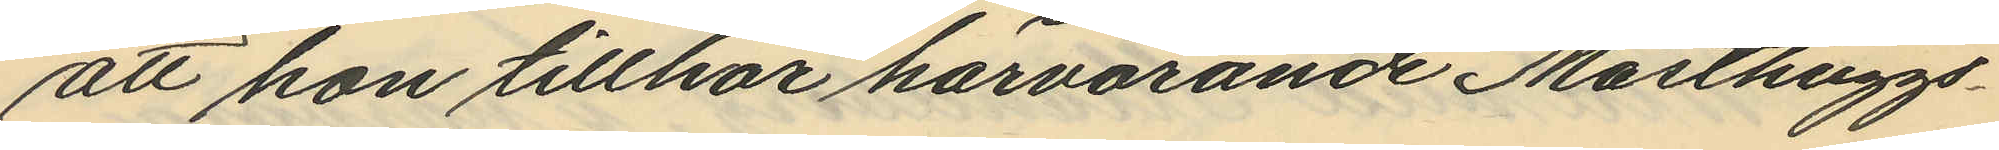att hon tillhör härvarande Masthuggs¬
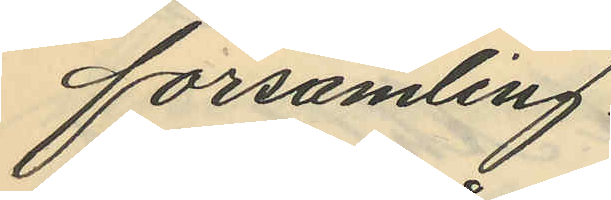församling.
